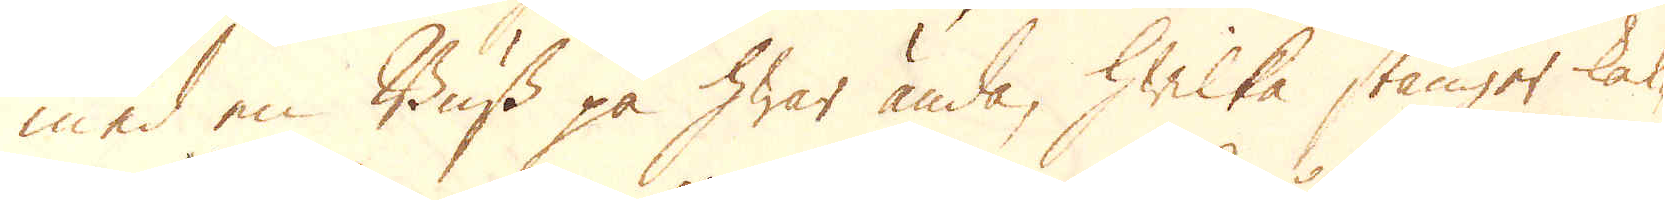med en Buss på hwar ända, hwilka stänger kal-
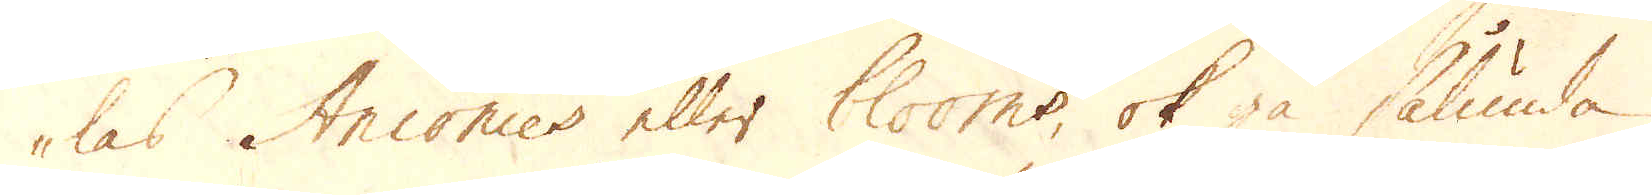las Anconies eller blooms, ok gå sålunda
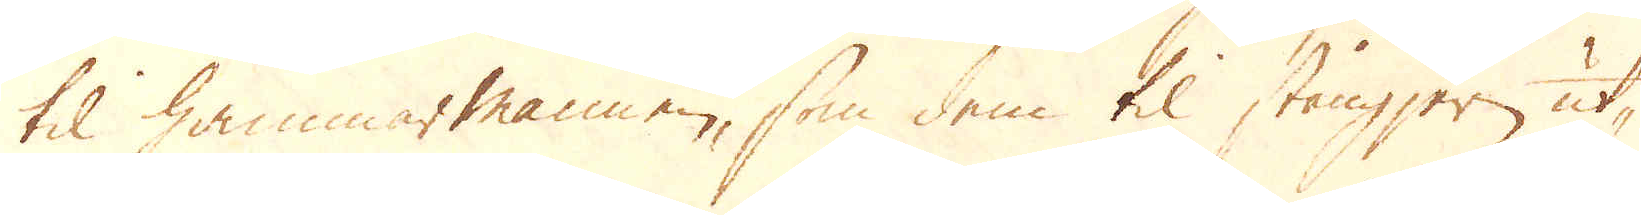til hammarmannen, som dem til stångjern ut-
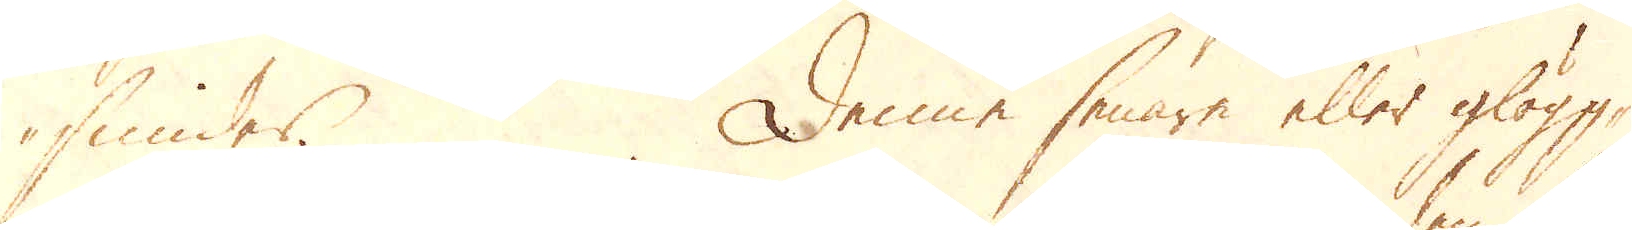smider. Denne senare eller glögg-
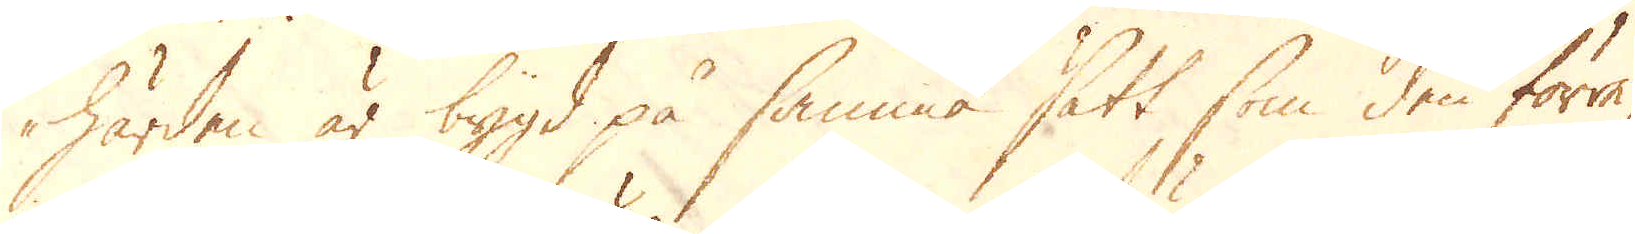härden är bygd på samma sätt som den förra,
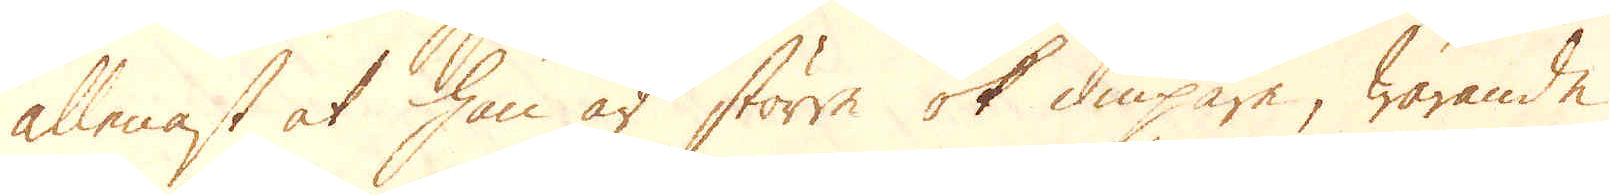allenast at han är större ok diupare, warande
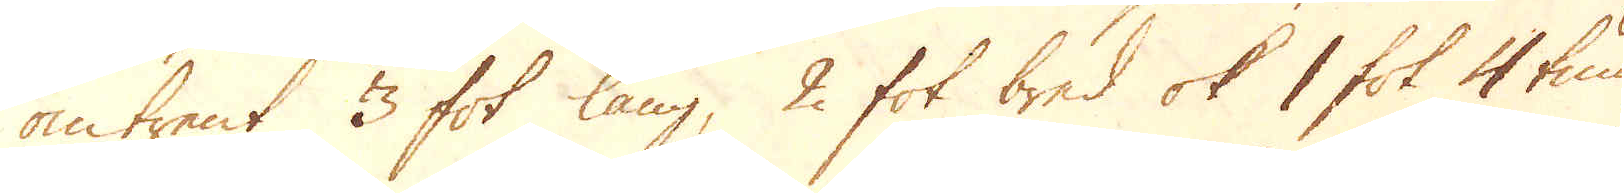omtrent 3 fot lång, 2 fot bred ok 1 fot 4 tum
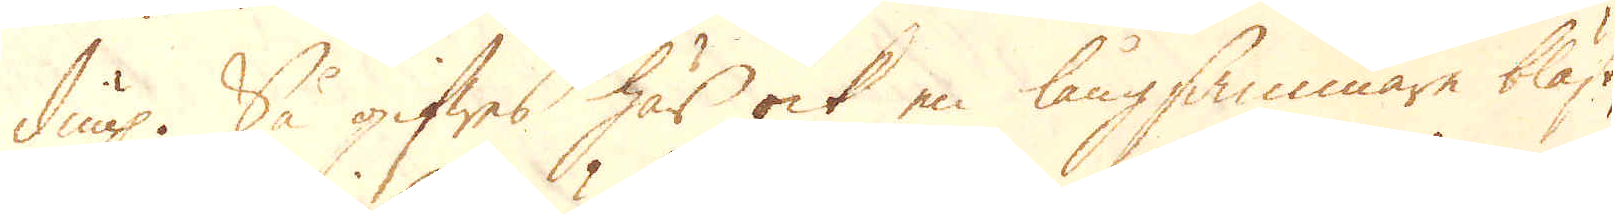diup. Så gifwes här ock en långsammare bläst,
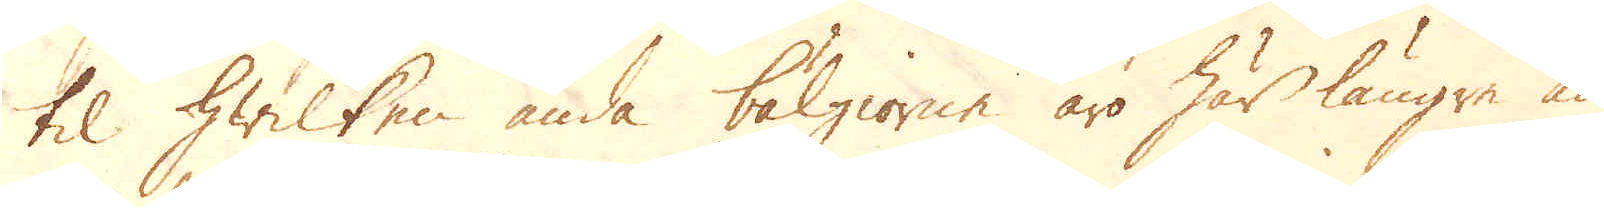til hwilken ända bälgiorne äro här längre än
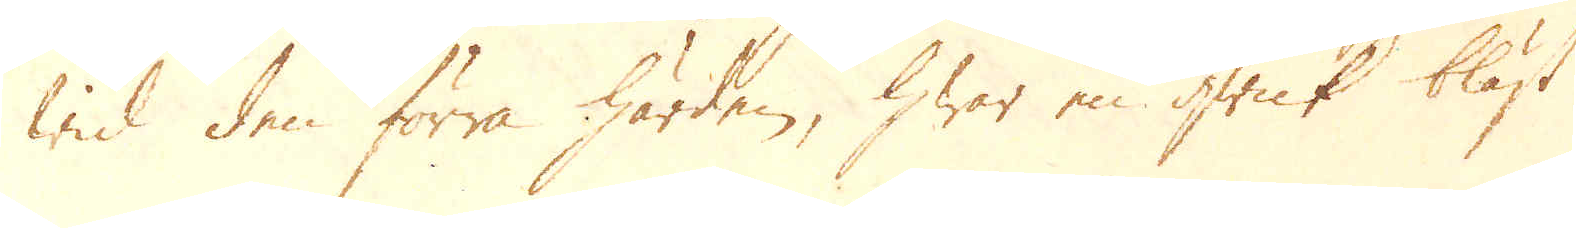wid den förra härden, hwar en qwick bläst
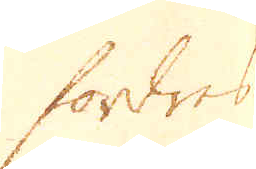fordres
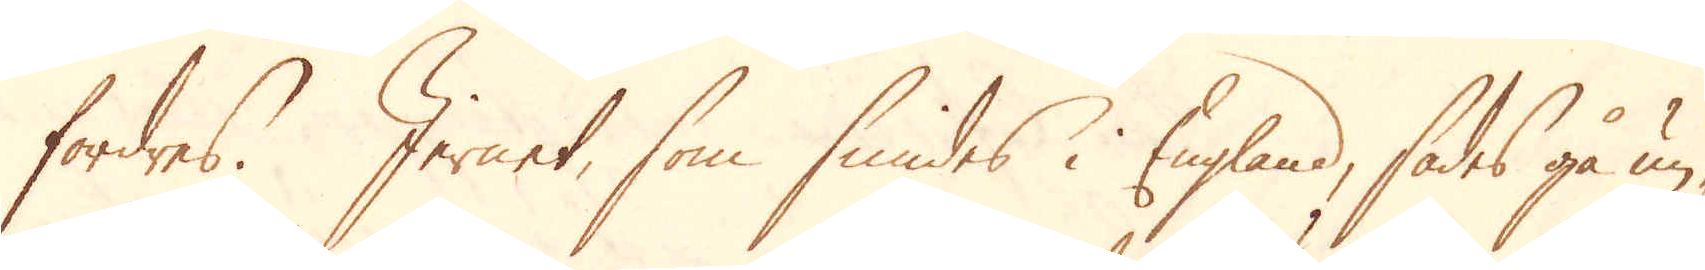fordres. Jernet, som smides i England, sades gå un-
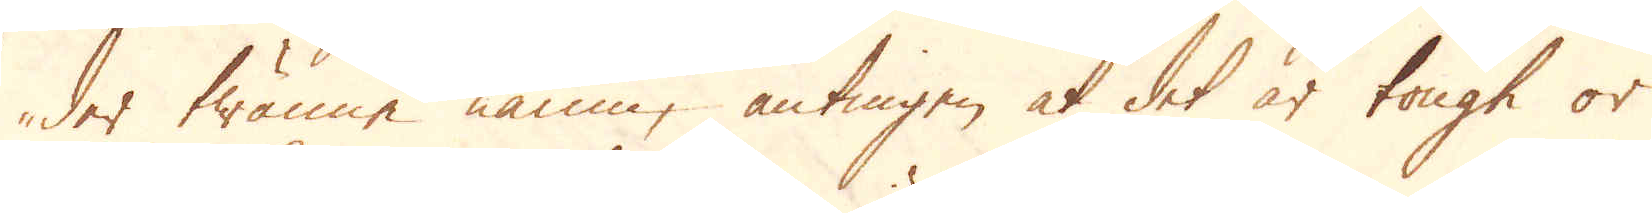der twänne namn, antingen at det är tough or
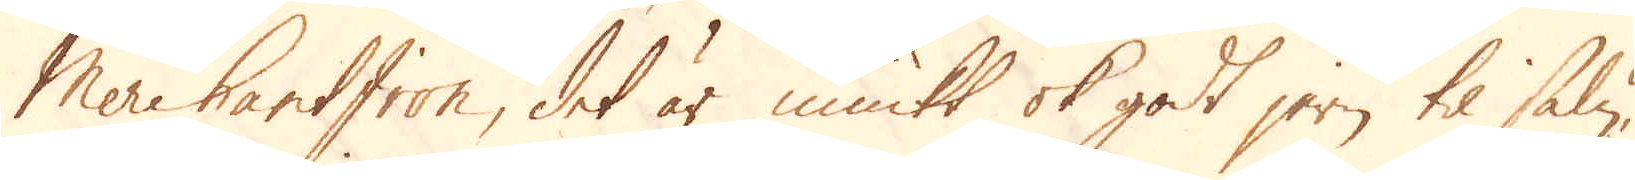Mere hart Iron, det är miukt ok godt jern til salu,
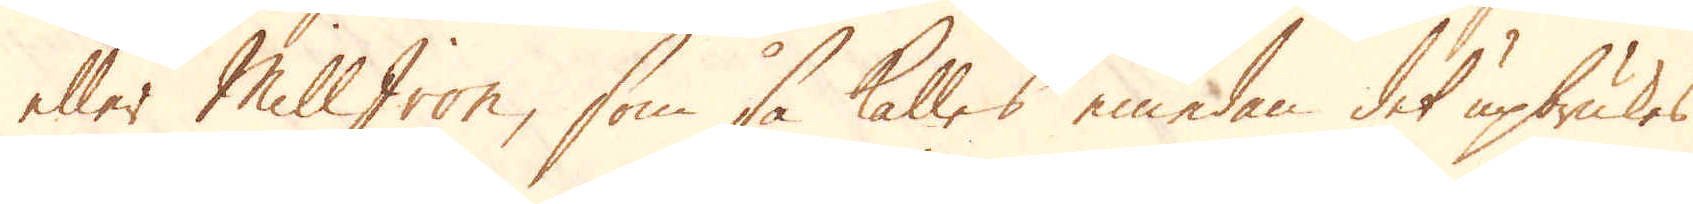eller Mill Iron, som så kalles emedan det upbrukes
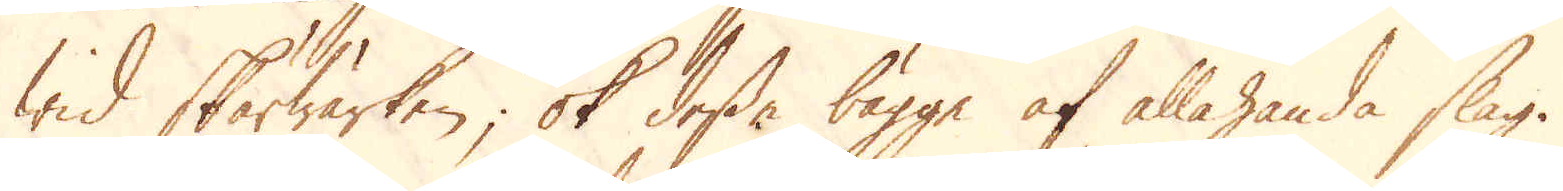wid Skärwärken; ok desse bägge af allahanda slag.
